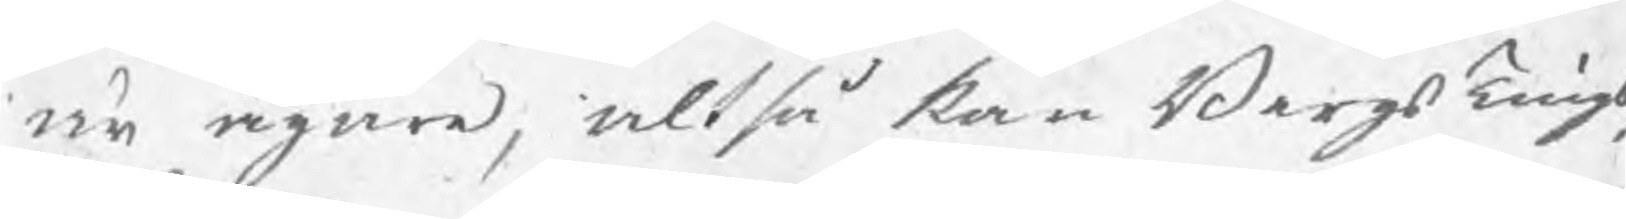är ägare, altså kan BergsTings¬
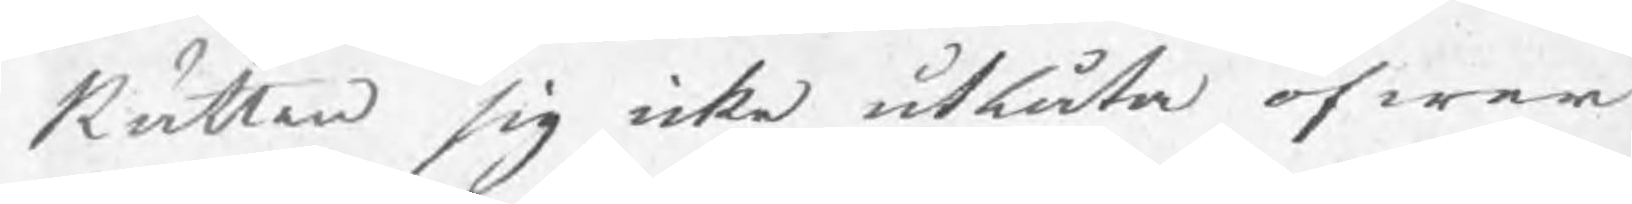Rätten sig icke utlåta öfwer
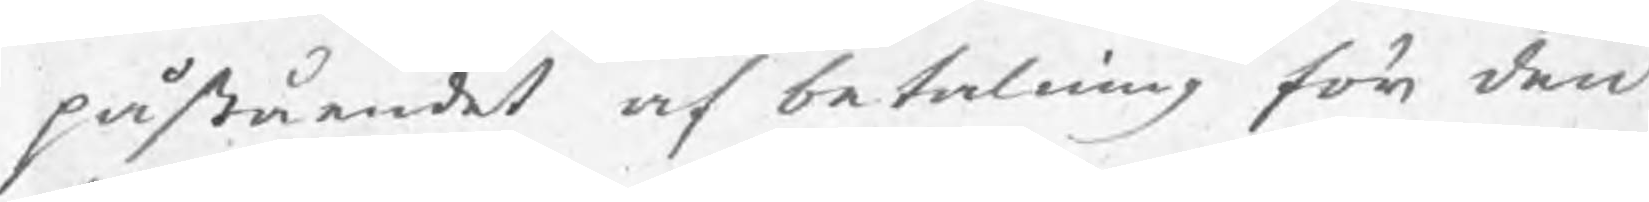påståandet af betalning för den
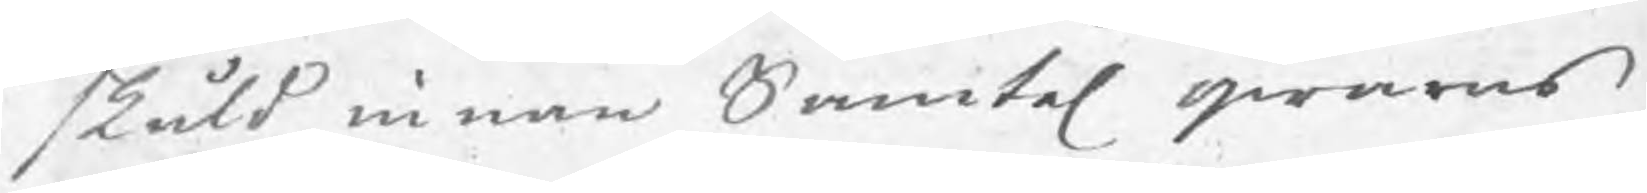skuld innan Samtel qwarns
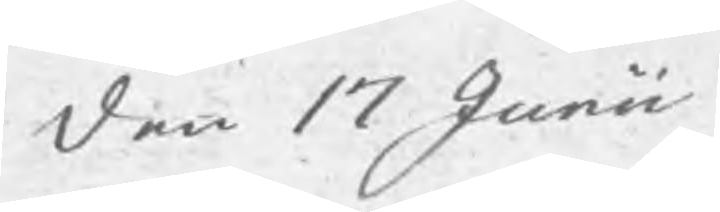den 17 Junii
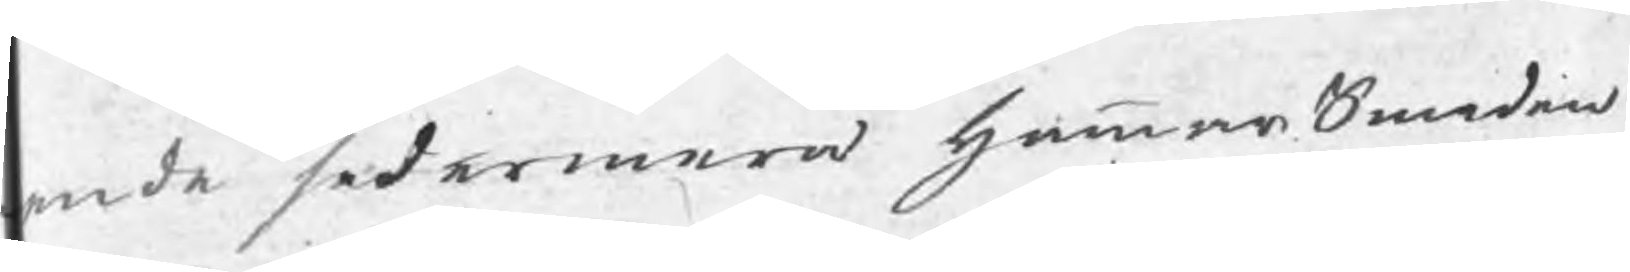ende sedermera hammarSmeden
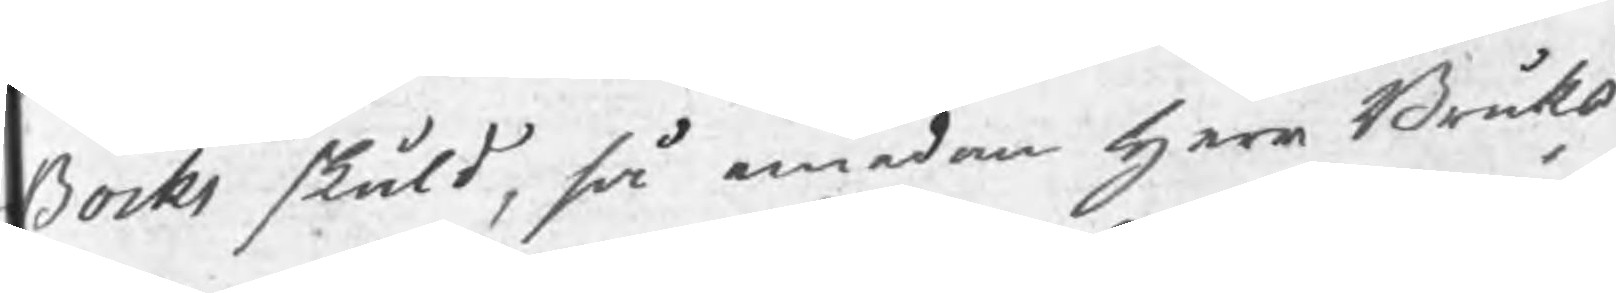Bocks skuld, så emedan herr Bruks¬
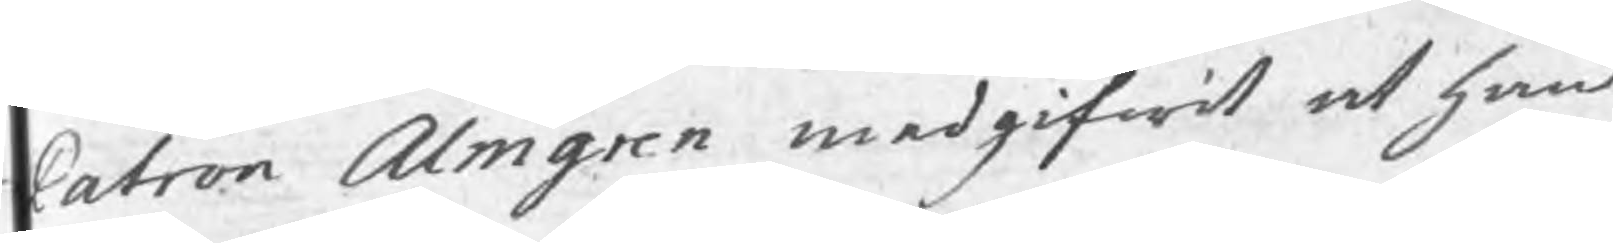Patron Almgren medgifwit at han
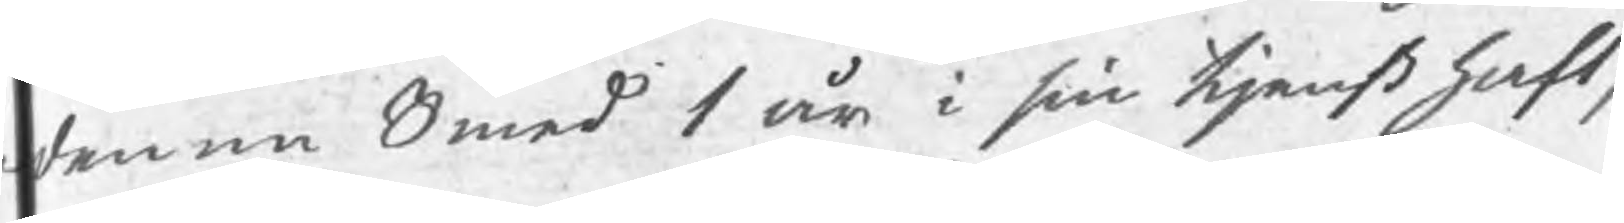denna Smed 1 år i sin tjenst haft,
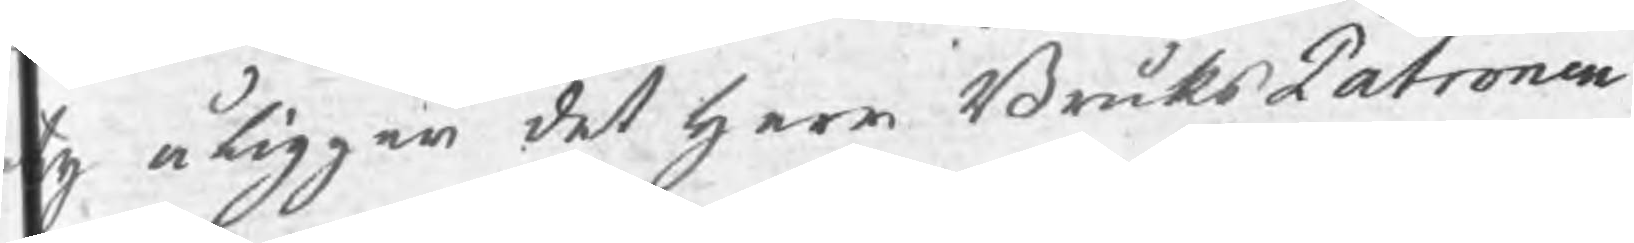ty åligger det herr BruksPatronen
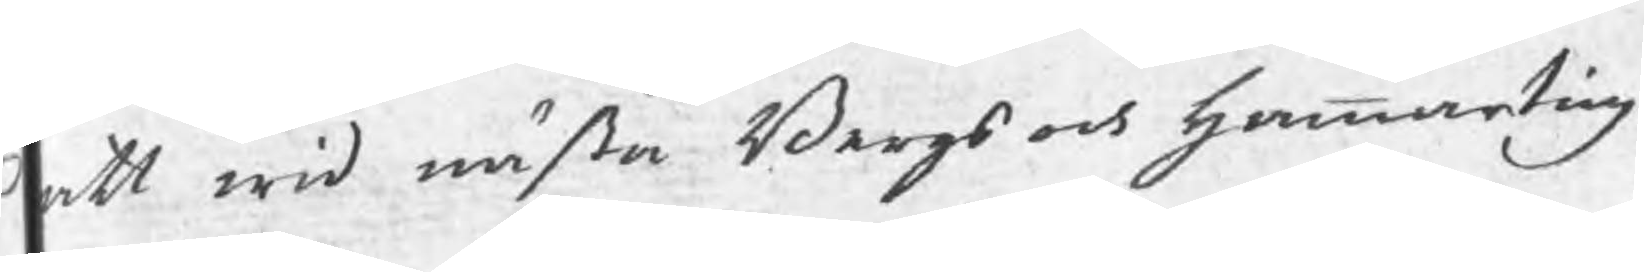att wid nästa Bergs och hammarting
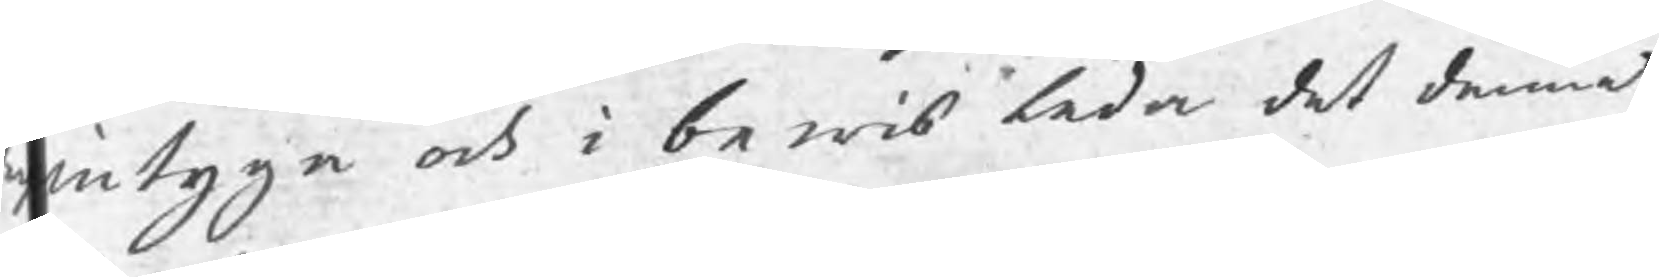intyga och i bewis leda det denne
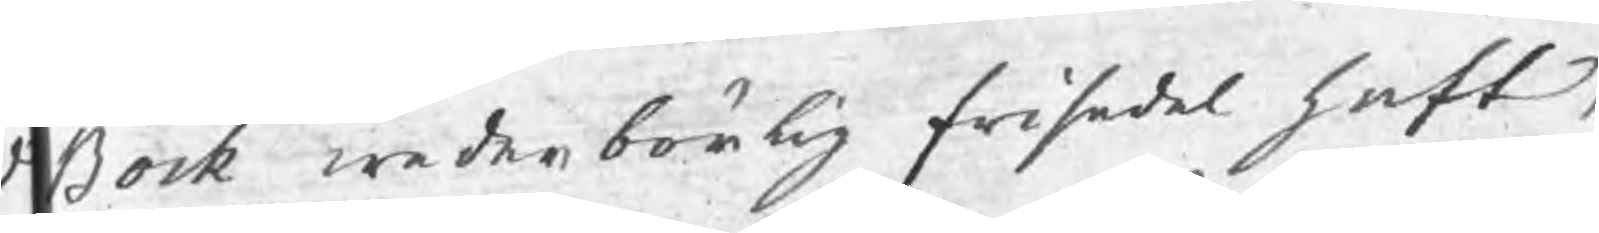Bock wederbörlig frisedel haft,
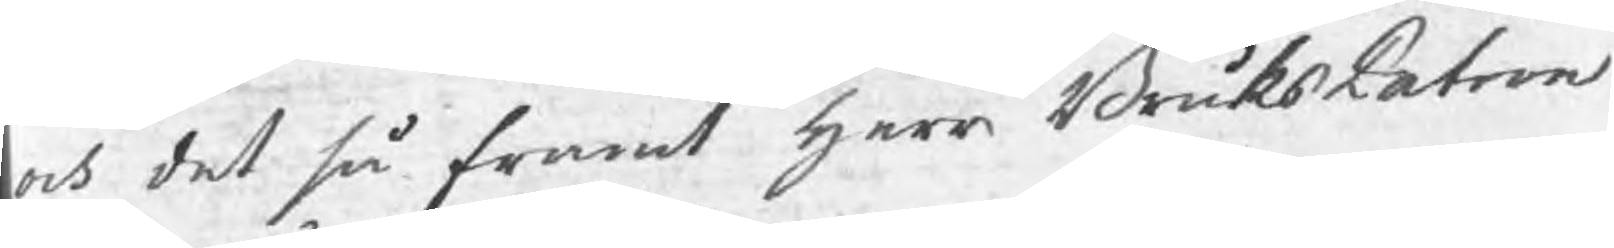och det så framt herr BruksPatron
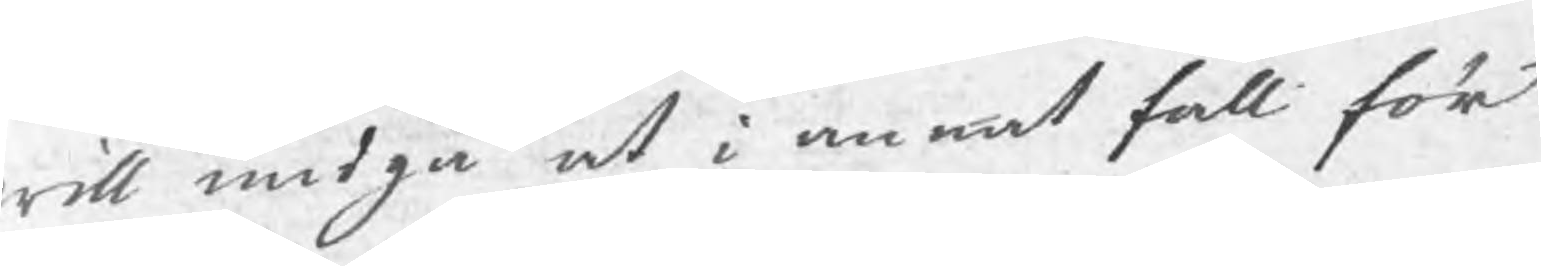will undgå at i annat fall för
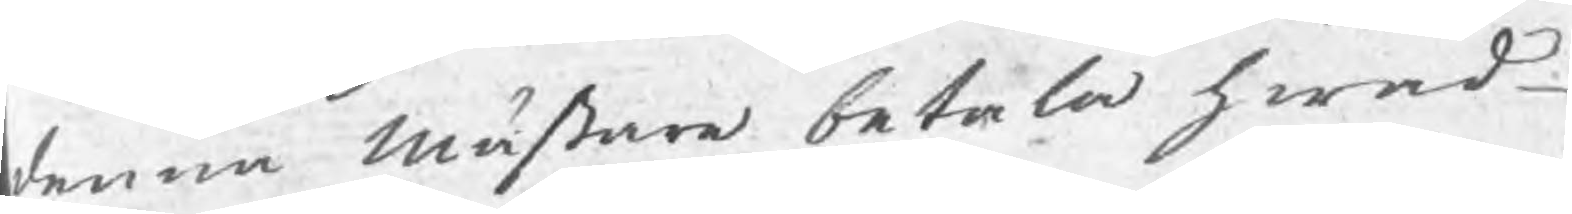denna mästare betala hwad
